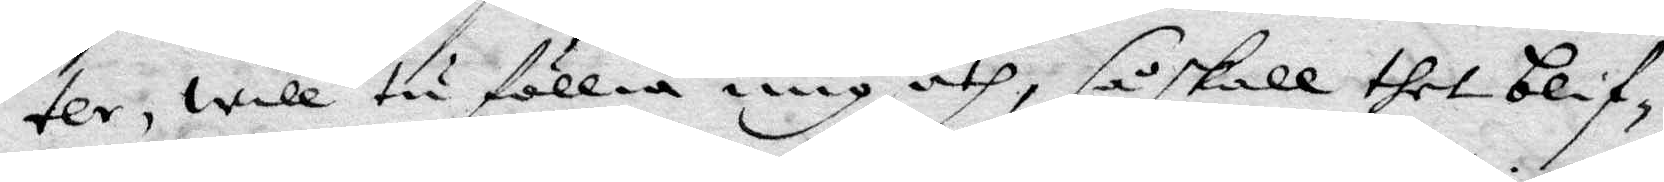ter, will tu föllia mig åth, så skall thet blif¬
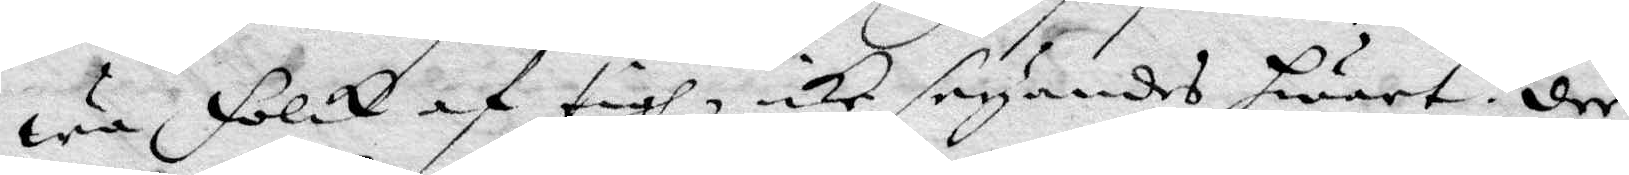wa folck af tigh, icke säyandes hwart: der
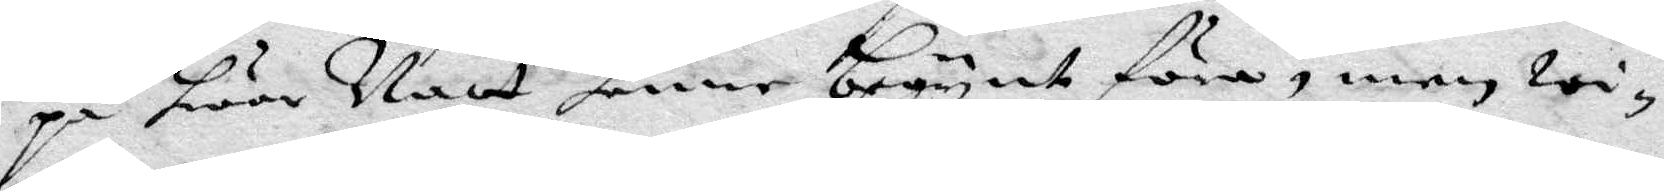på hwar Natt henne begynt föra, men wi¬
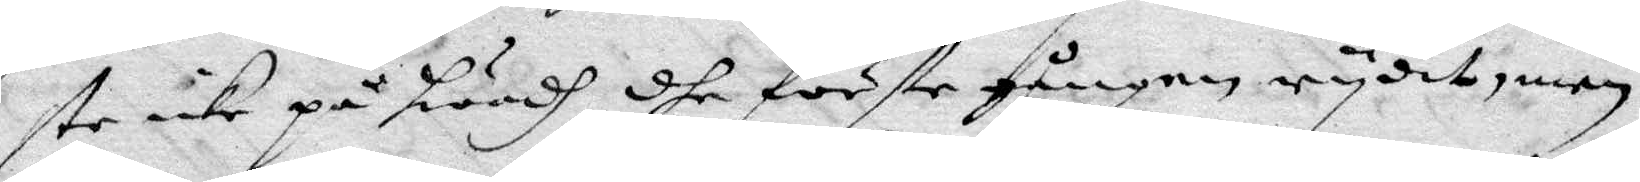ste icke på hwadh dhe förste gången rydit, men
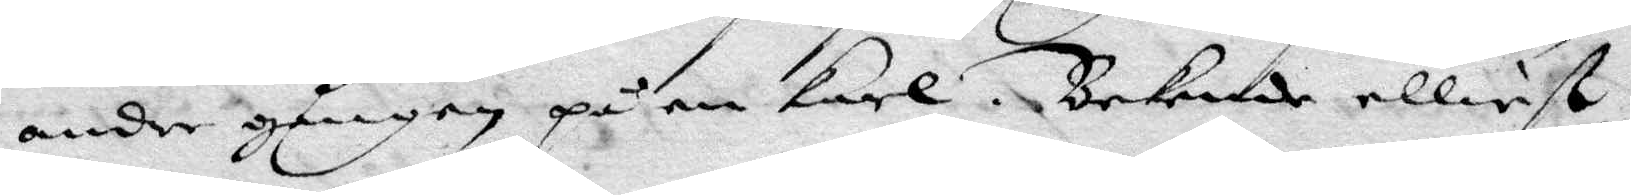andre gången på en karl. Bekende elliest
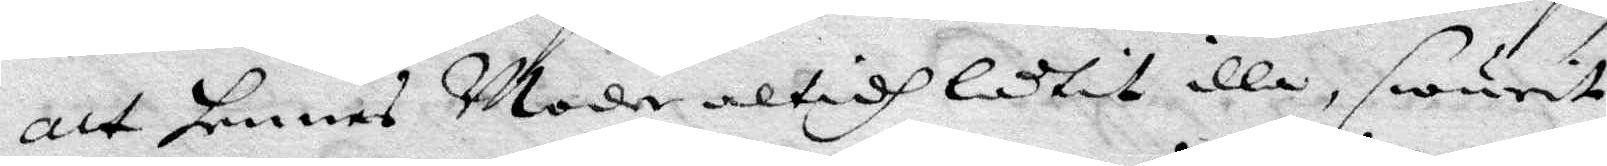att hennes Moder altidh låtit illa, swurit
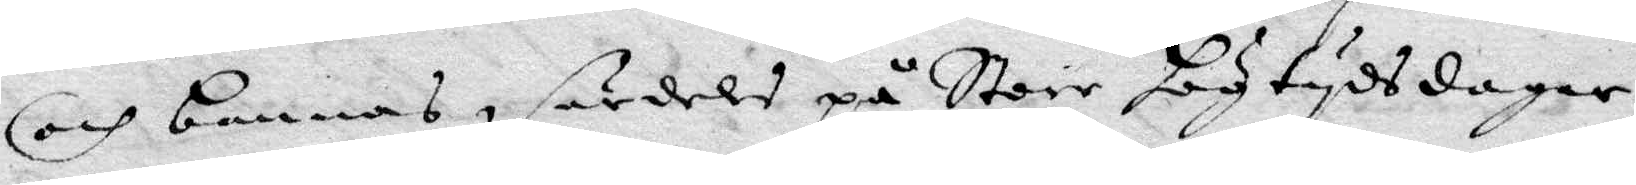och bannas, särdels på Store högtydsdagar
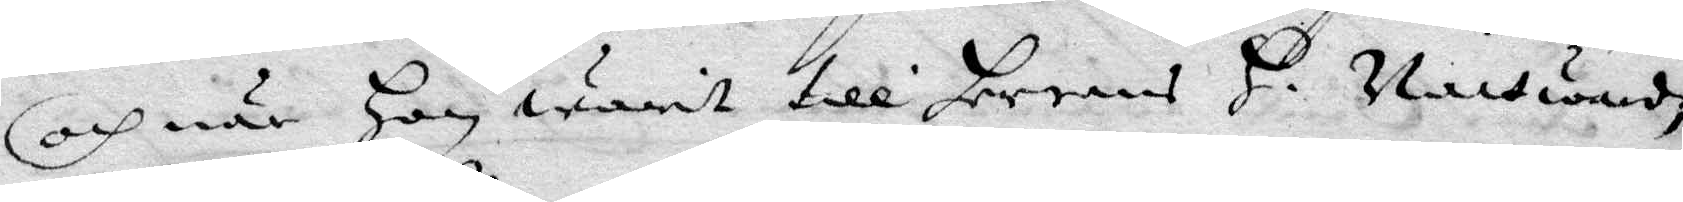och när hon warit till Herrens H. Nattwardh
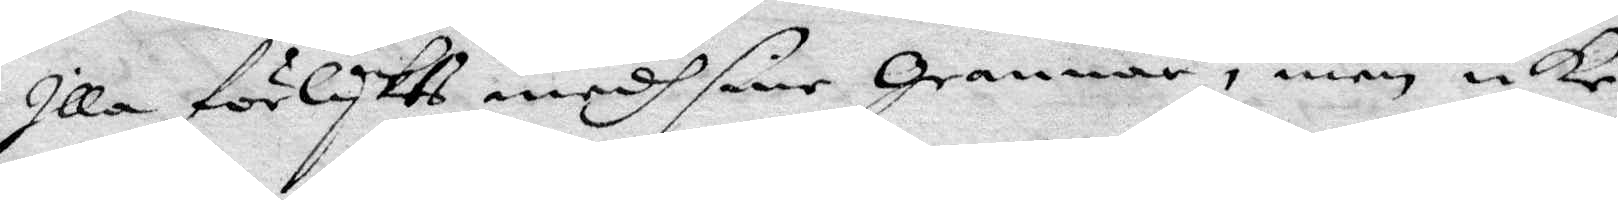Illa förlykts medh sine Grannar, men icke
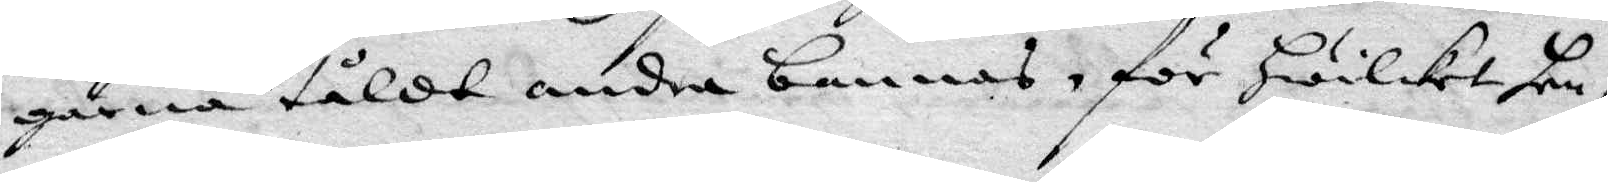gärna tåldt andra bannas, för hwilket hen¬
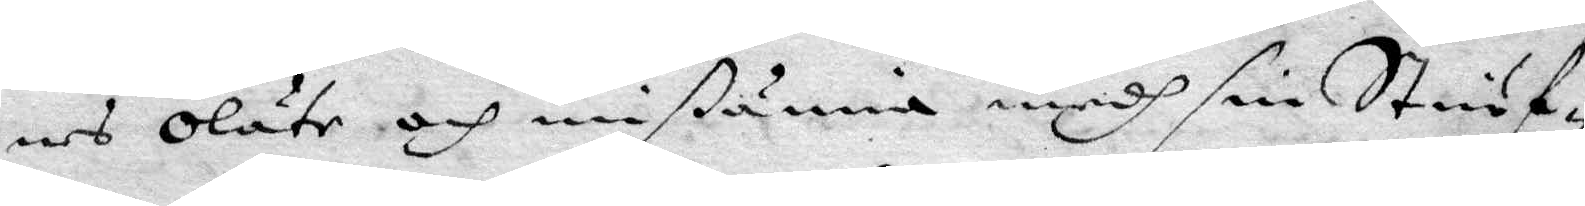nes oläte och mißunna medh sin Stiuf¬
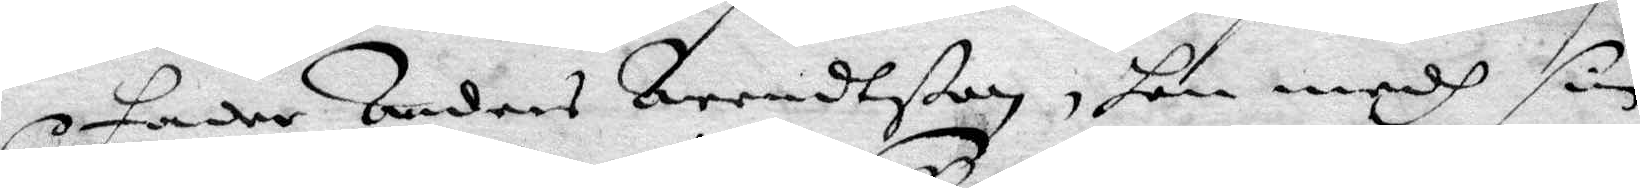Fader Anders Arendßon, hon medh sin
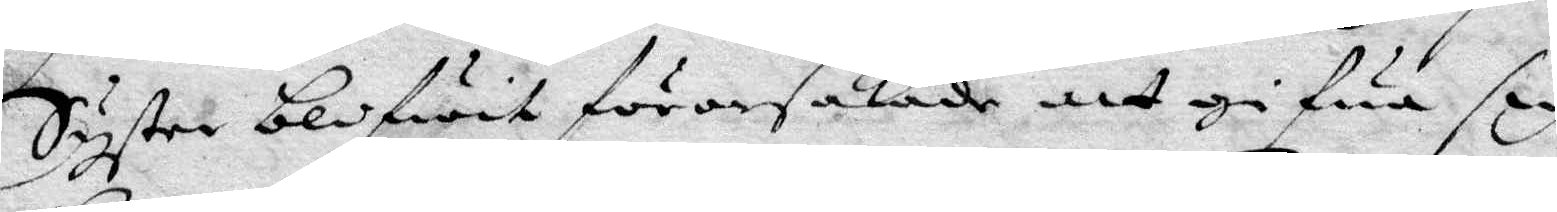Syster blifwit förorsakade att gifwa sig
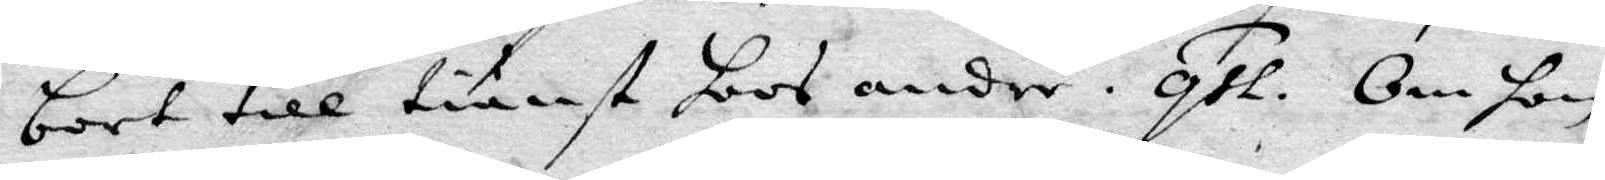bort till tiänst hoos andre. qst. Om hon
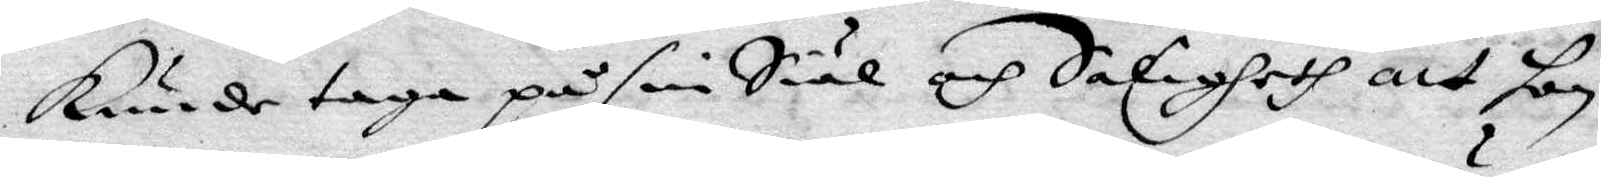kunde taga på sin Siäl och Saligheth att hon
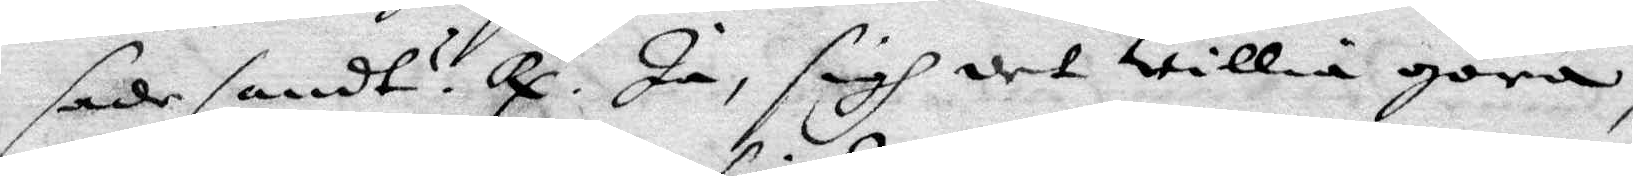sade sandt? Rp. Ja, sigh det willia göra
